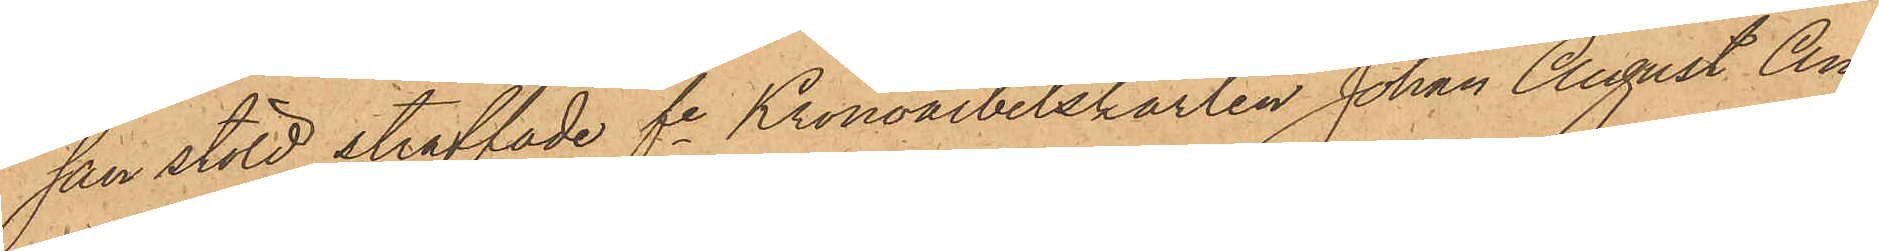san stöld straffade fre Kronoarbetskarlen Johan August An¬
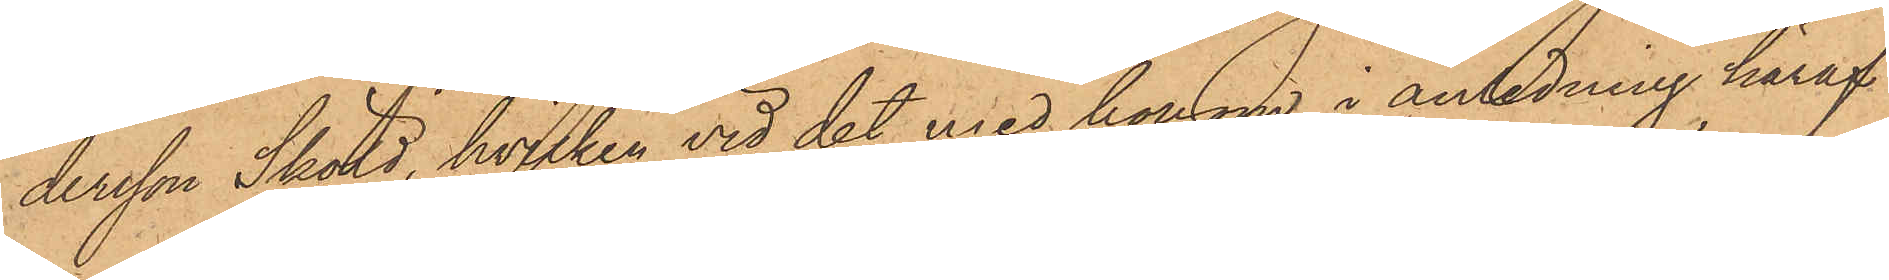dersson Sköld, hvilken vid det med honom i anledning häraf
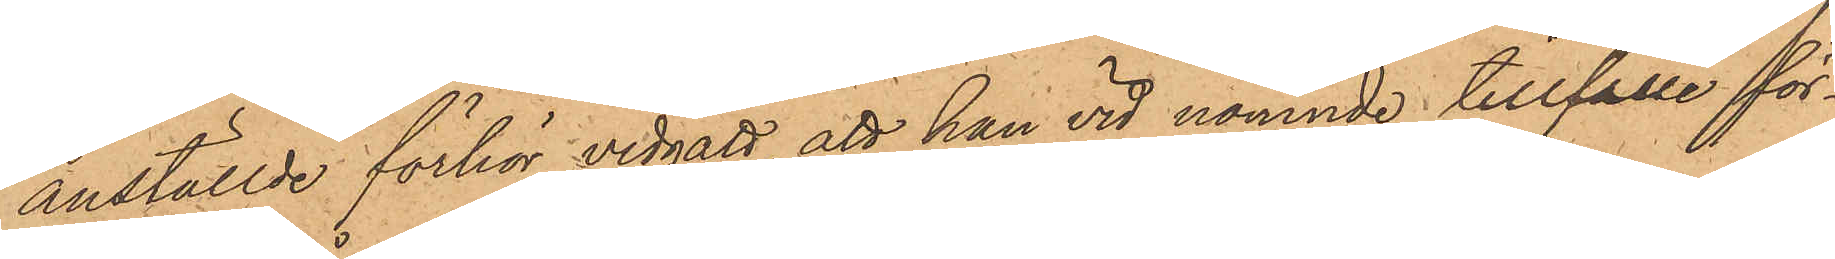anställde förhör vidgått, att han vid nämnde tillfälle för¬
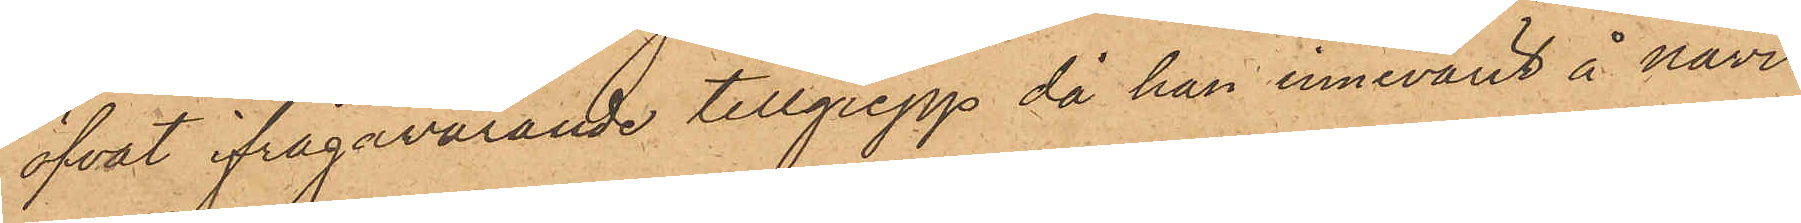öfvat ifrågavarande tillgrepp då han innevarit å navi¬
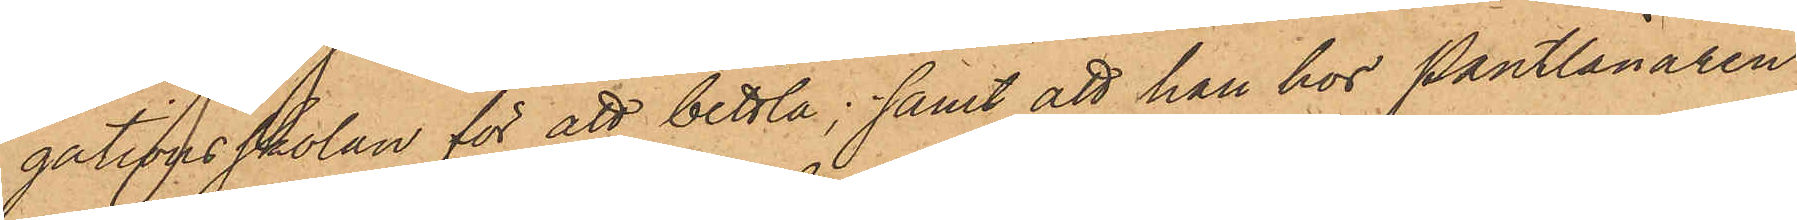gationsskolan för att bettla; samt att han hos Pantlånaren
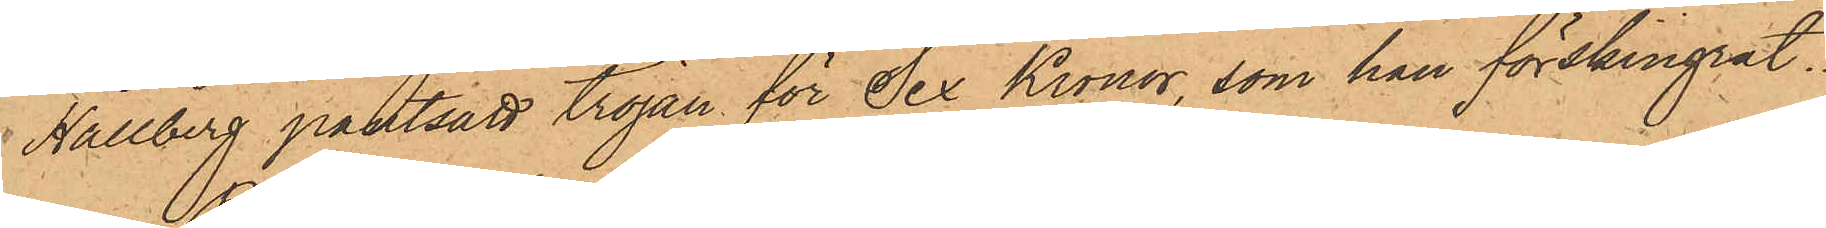Hallberg pantsatt tröjan för Sex Kronor, som han förskingrat.
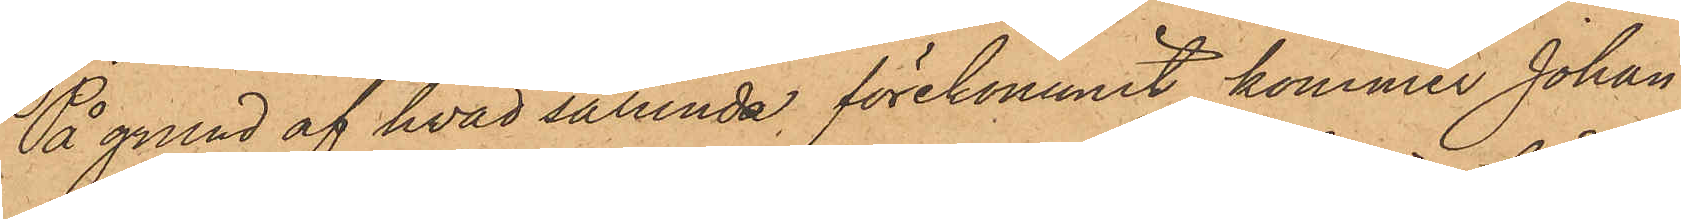På grund af hvad sålunda förekommit, kommer Johan
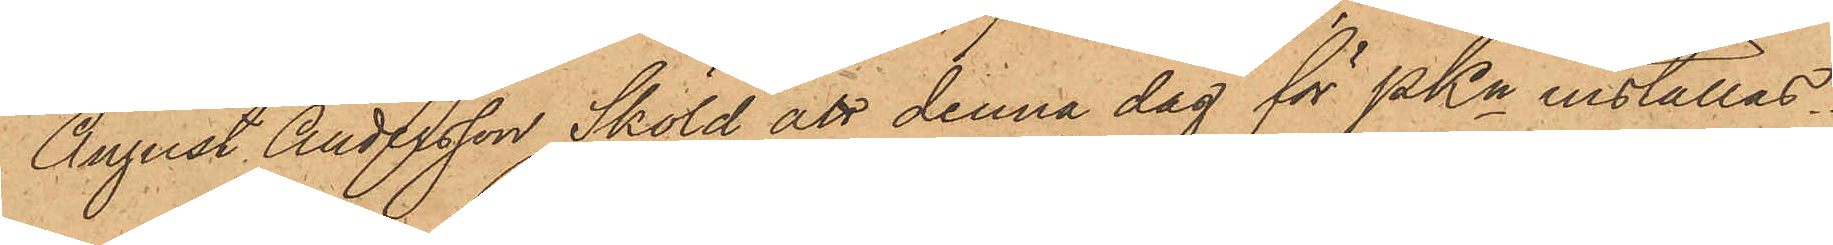August Andersson Sköld att denna dag för PKn inställas.
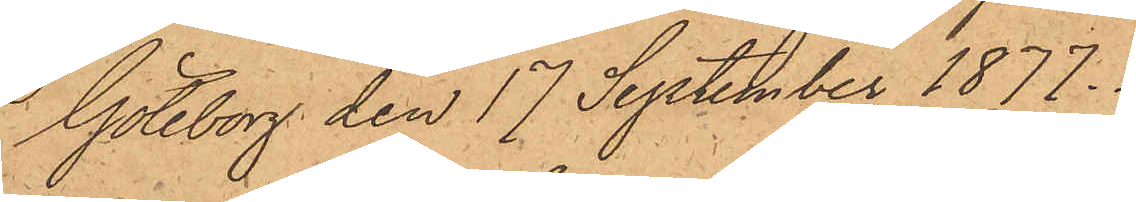Göteborg den 17 September 1877.
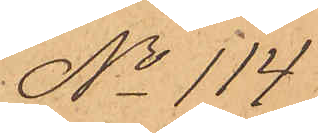No 114.
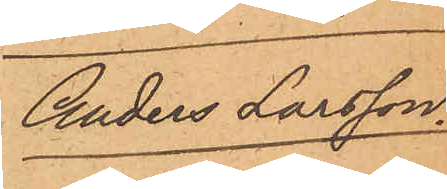Anders Larsson.
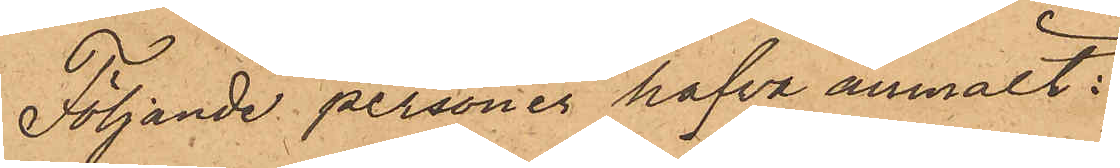Följande personer hafva anmält:
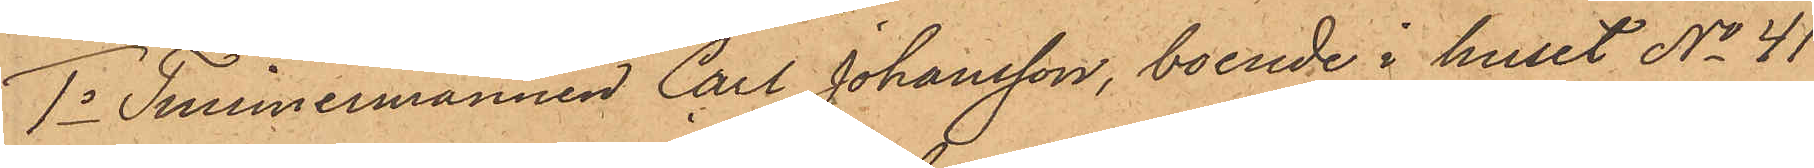1o Timmermannen Carl Johansson, boende i huset No 41
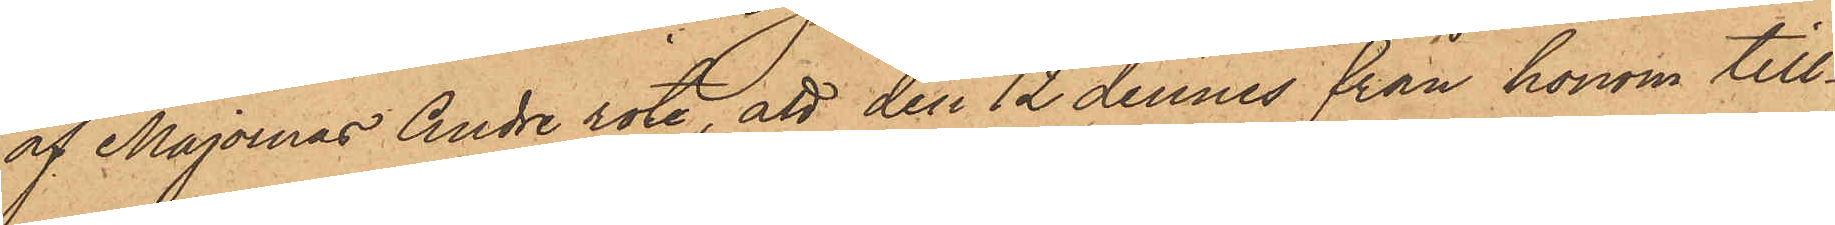af Majornas Andre rote, att den 12 dennes från honom till¬
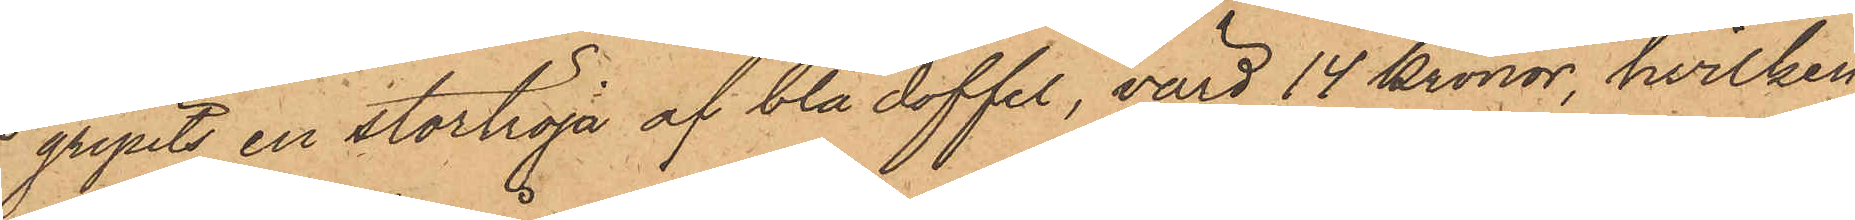gripits en stortröja af blå doffel, värd 14 kronor, hvilken
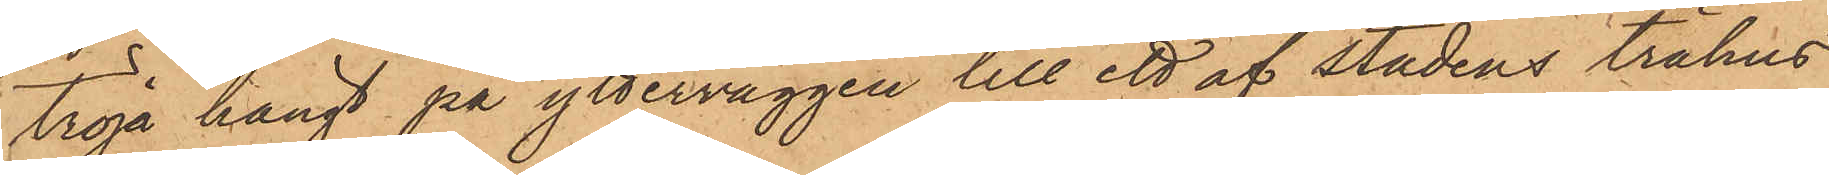tröja hängt på ytterväggen till ett af stadens trähus
